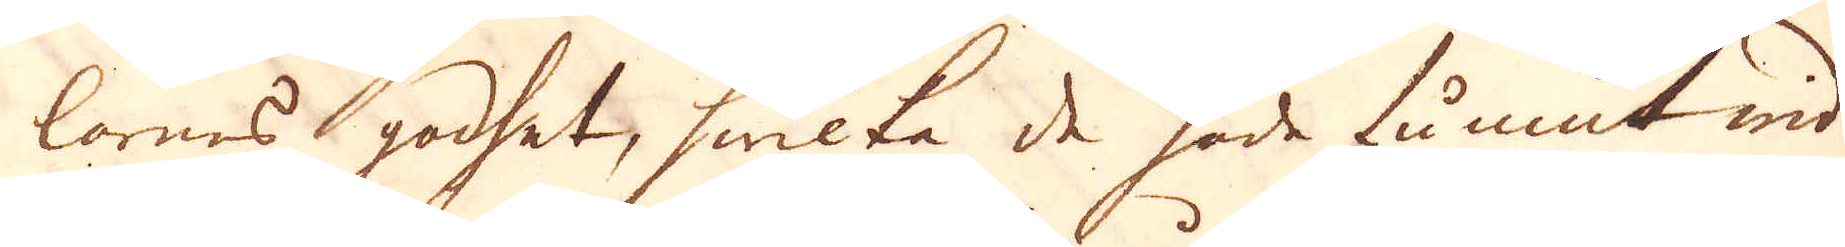larnes godhet, hwilka de hade funnit wid
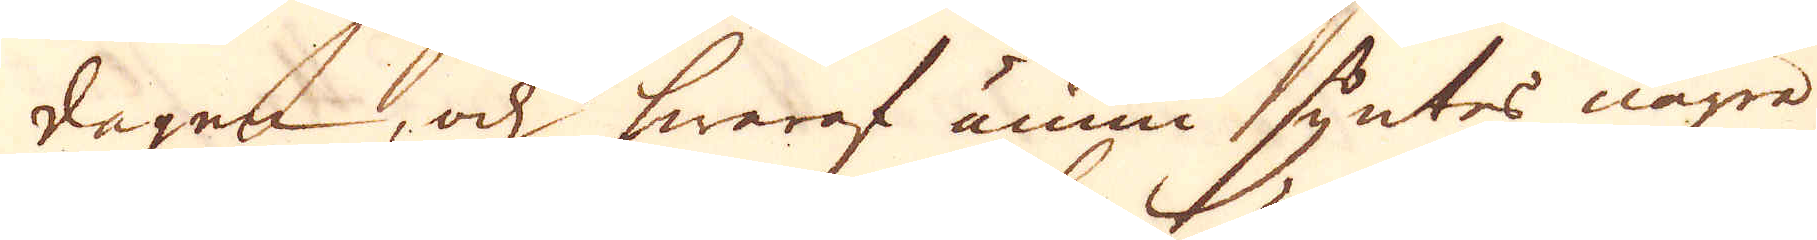dagen, och hwaraf ännu syntes några
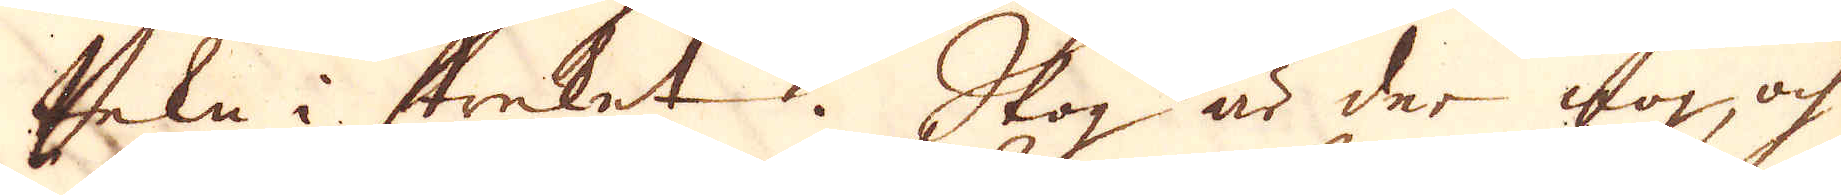tekn i streket. Skog är der nog, och
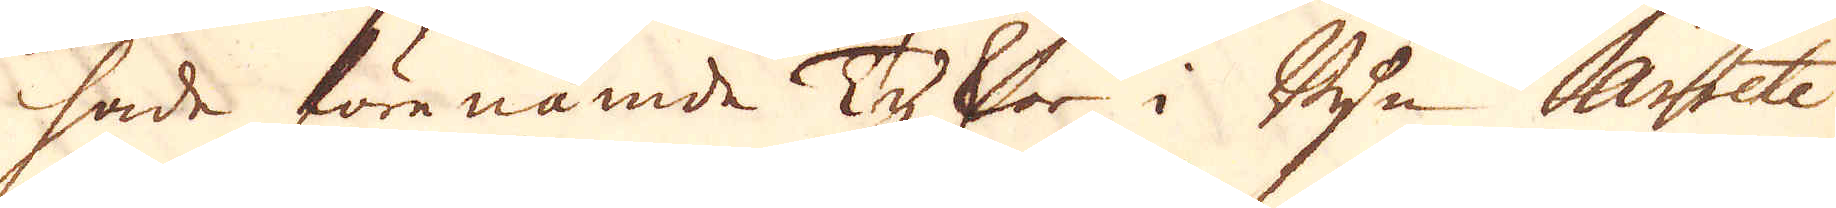hade förenämde Tyskar i Byn Arrete
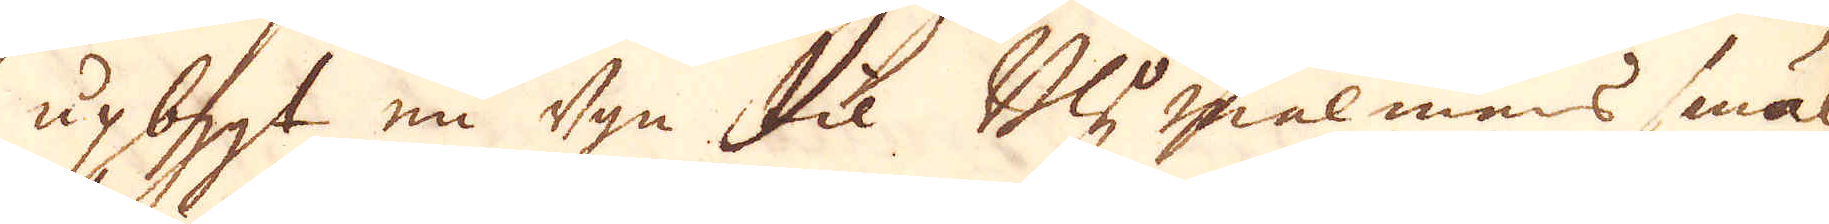upbygt en ugn til Bly malmens smäl-
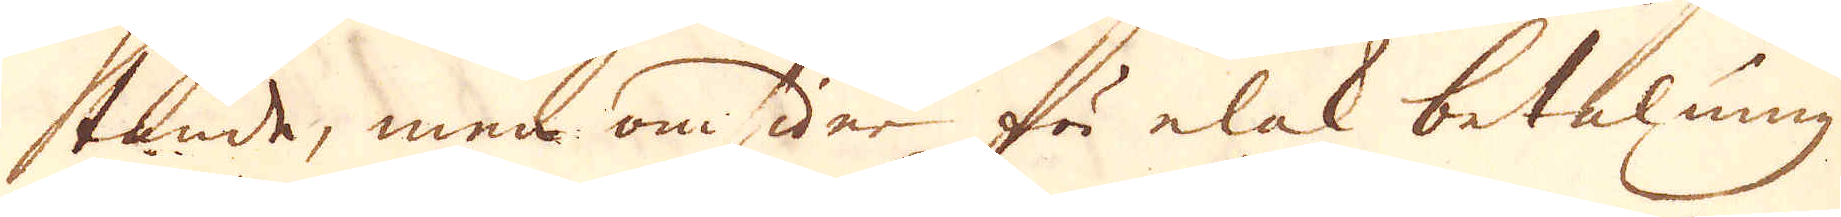tande, men omsider för elak betalning
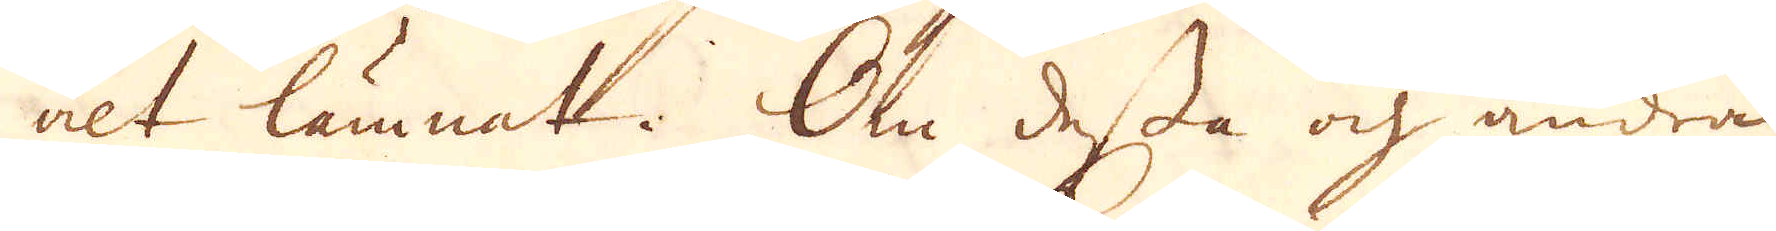alt lämnat. Om dessa och andra
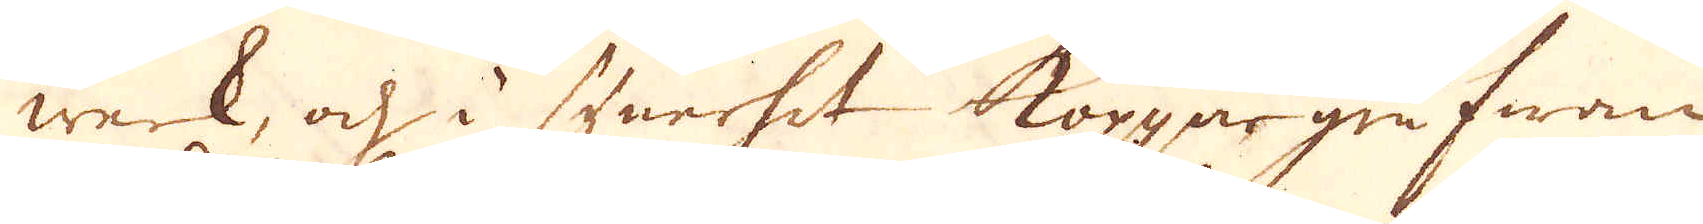werk, och i synerhet koppargrufwan
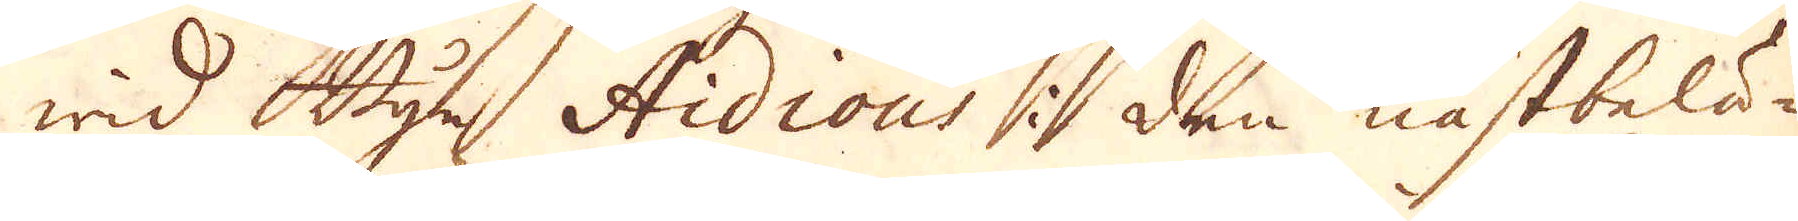wid Byn Aidious i den nästbelä-
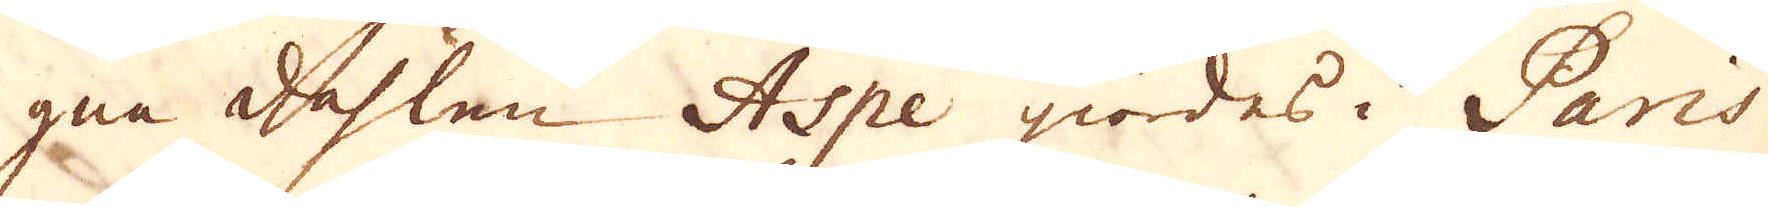gna dahlen Aspe giordes i Paris
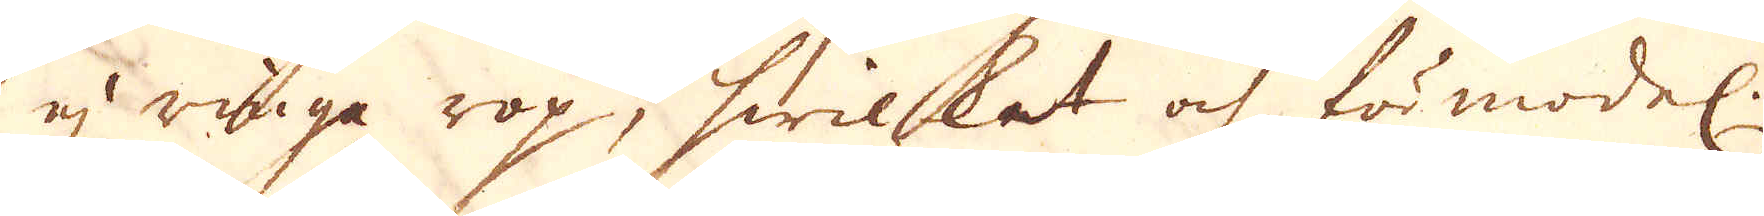ej ringa rop, hwilket och förmodel.
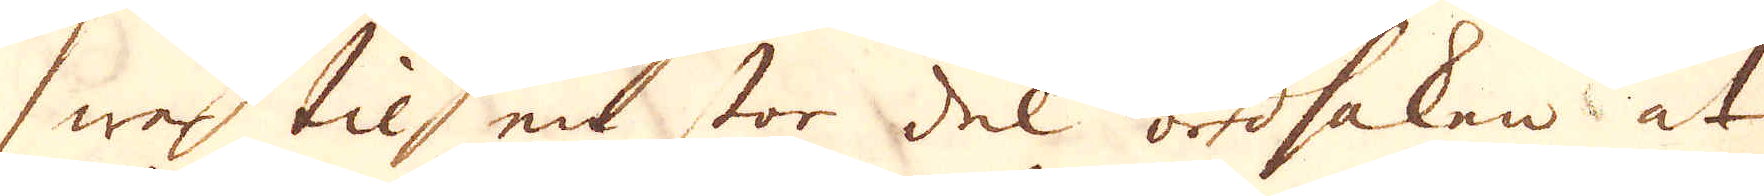war til en stor del ordsaken at
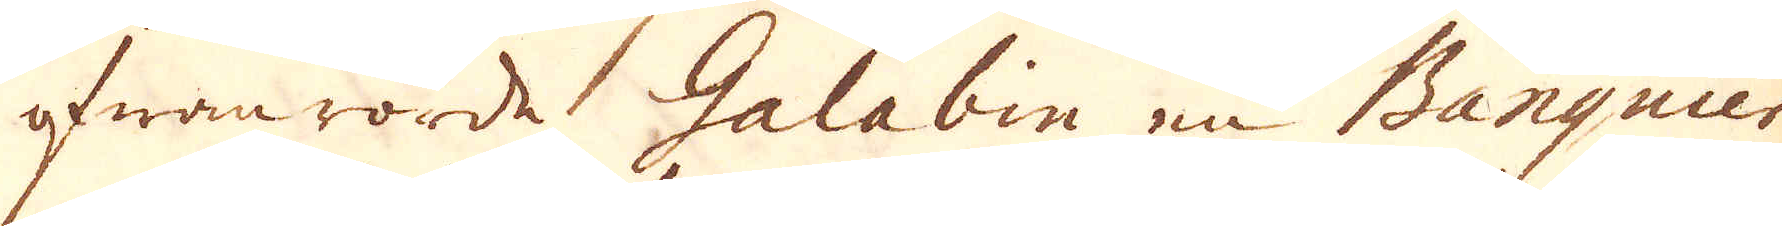ofwanrörde Galabin en Banquier
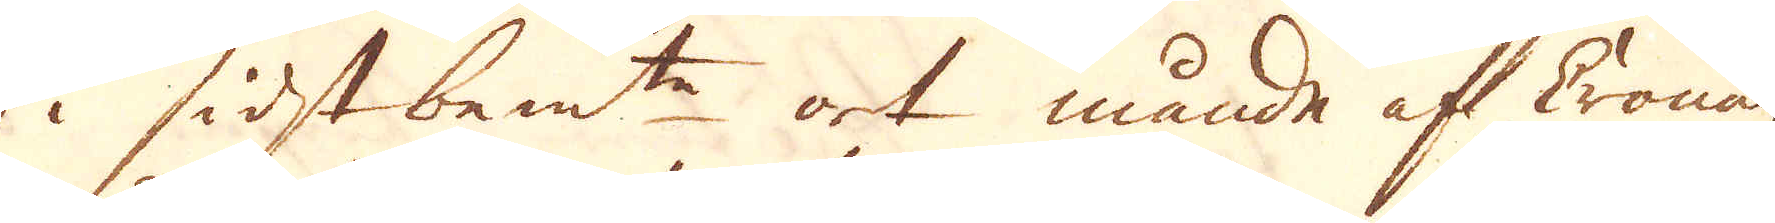i sidstbem:t ort månde af Cronan
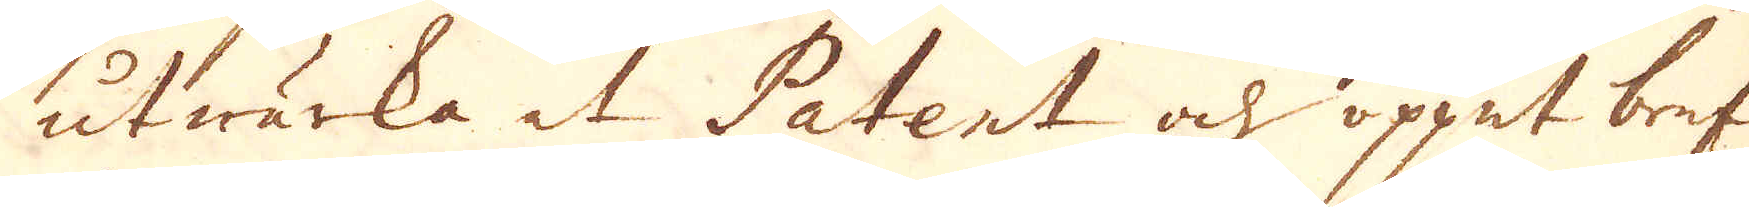utwärka et Patent och öppet bref
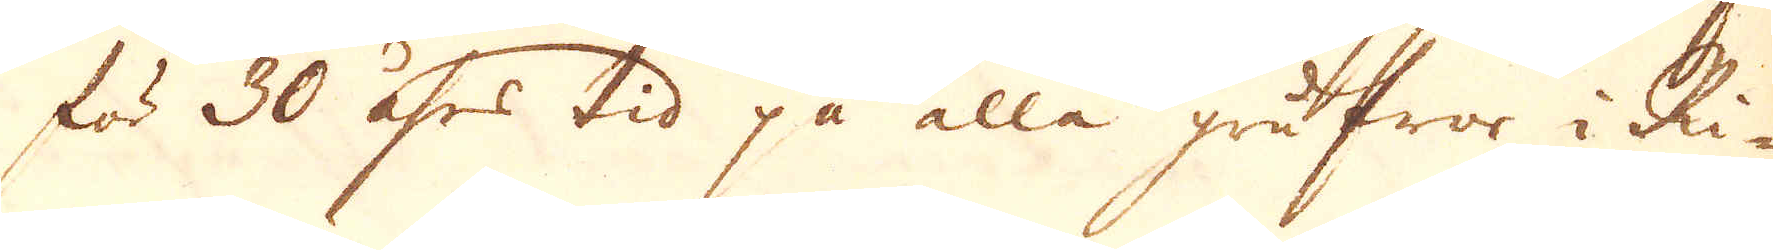för 30 åhrs tid på alla grufwor i Ri-
